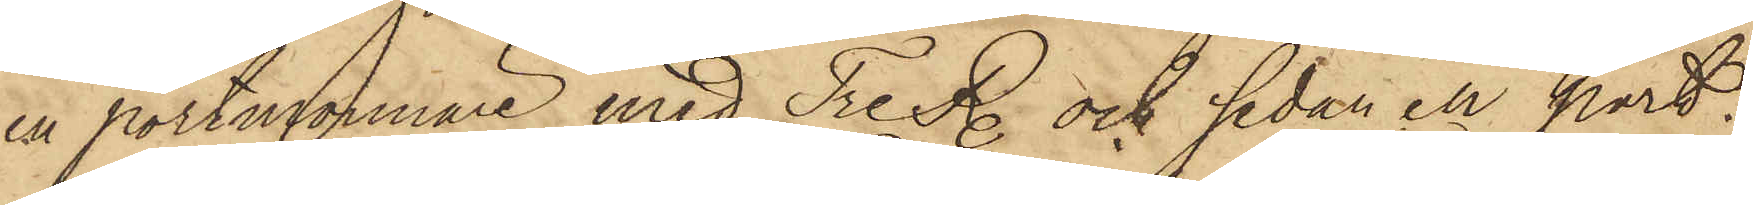en portmonnaie med Tre R. och sedan en port¬
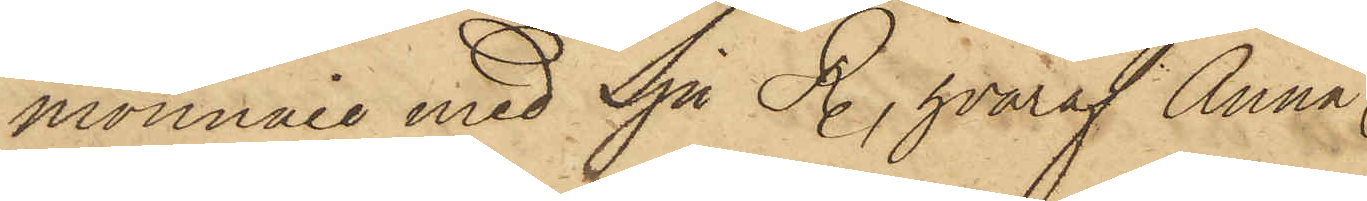monnaie med Sju R., hvaraf Anna
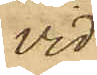vid
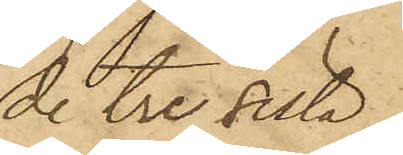de tre sista
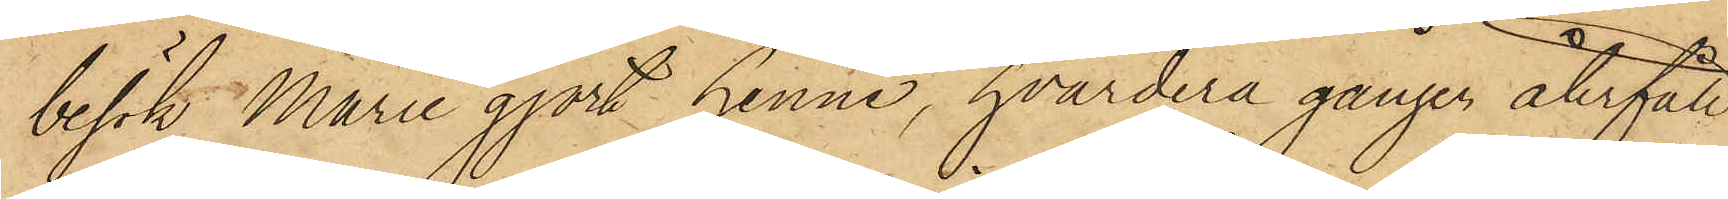besök Marie gjort henne, hvardera gången återfått
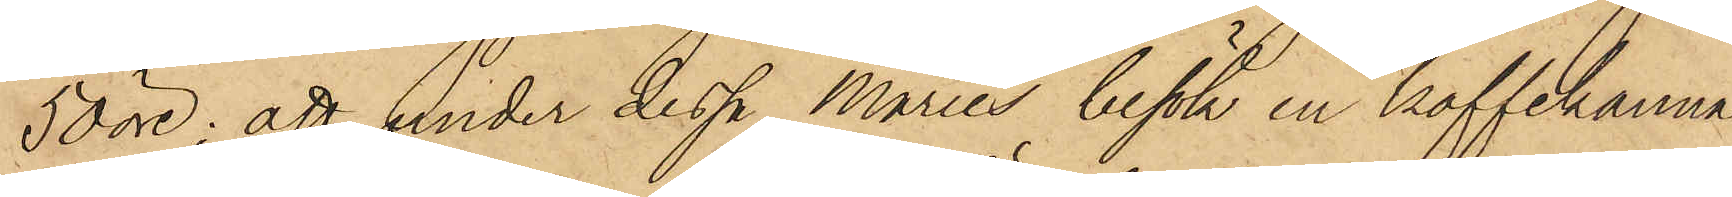50 öre; att under dessa Maries besök en kaffekanna,
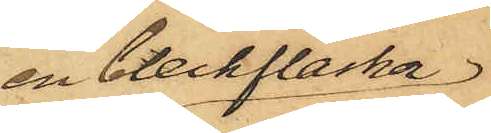en bleckflaska
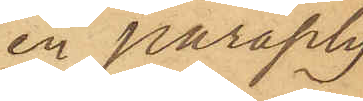en paraply
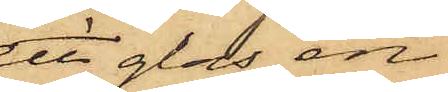ett glas, en
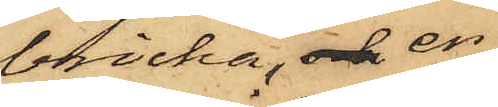bricka, och en
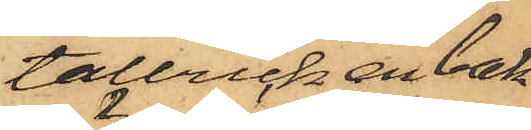tallrick, en bak¬
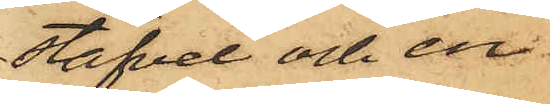stäfvel och en
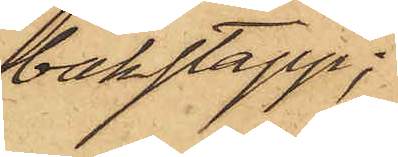bakstapp;
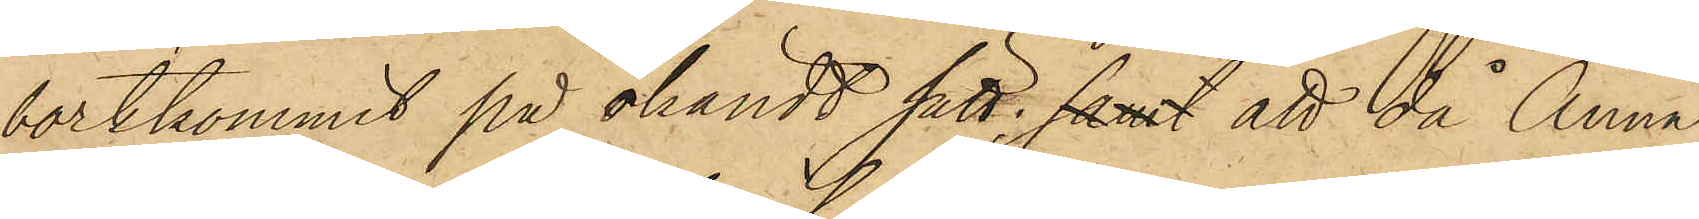bortkommit på okändt sätt; samt att då Anna
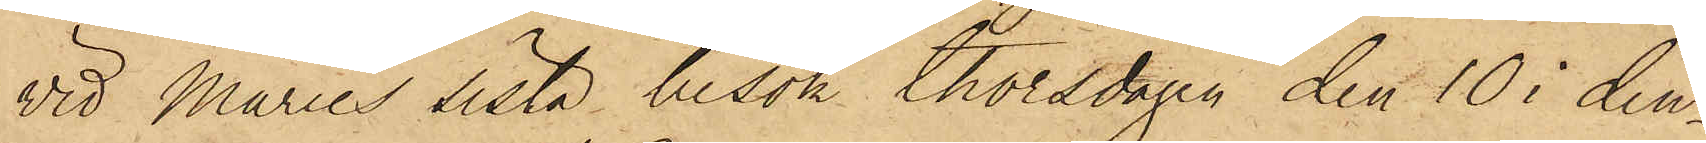vid Maries sista besök thorsdagen den 10 i den¬
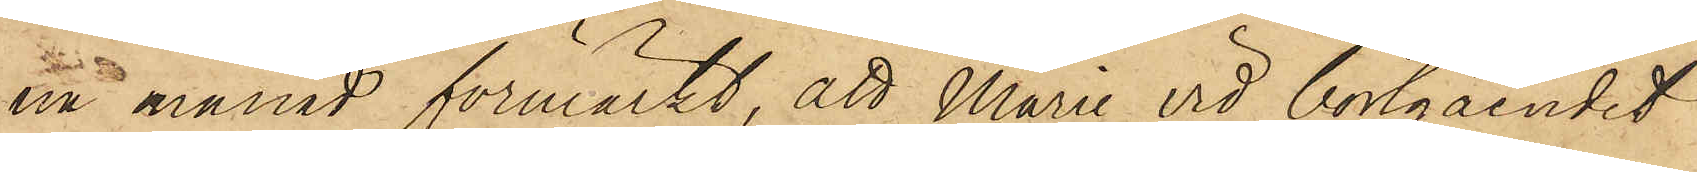na månad förmärkt, att Marie vid bortgåendet
